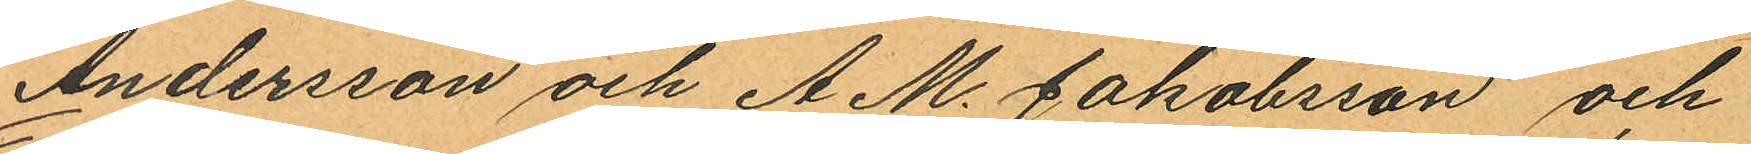Andersson och A.M. Jakobsson och
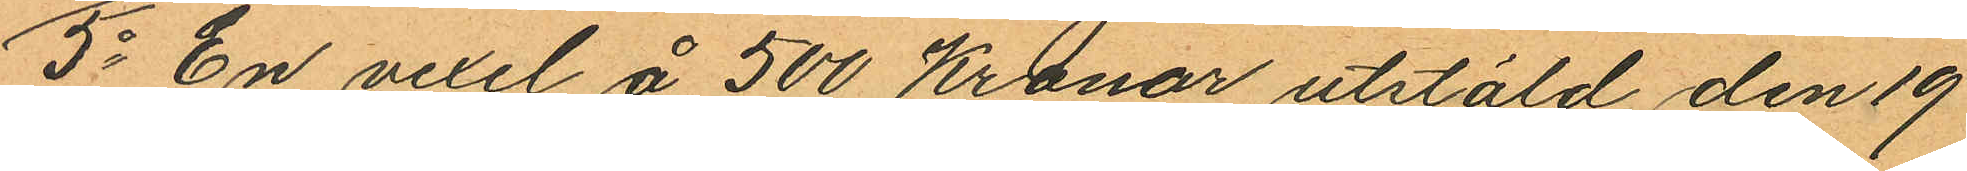5o En vexel å 500 Kronor utstäld den 19
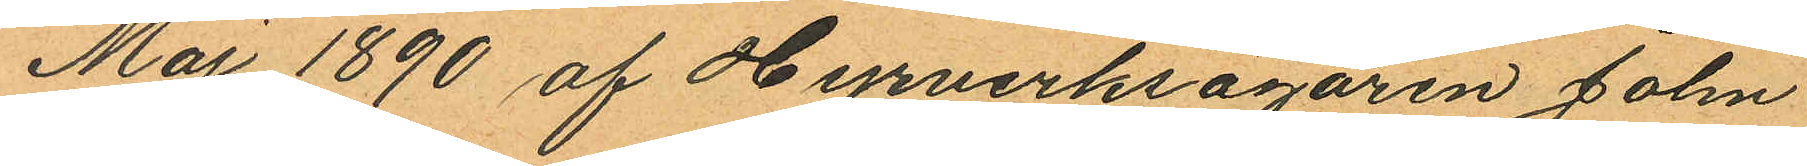Maj 1890 af Hyrverksägaren John
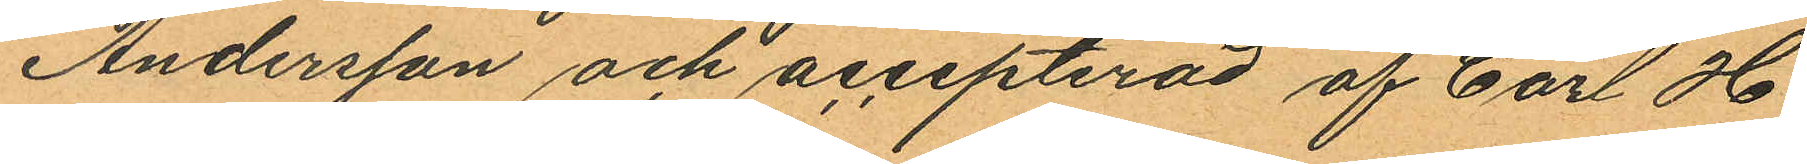Andersson och accepterad af Carl H
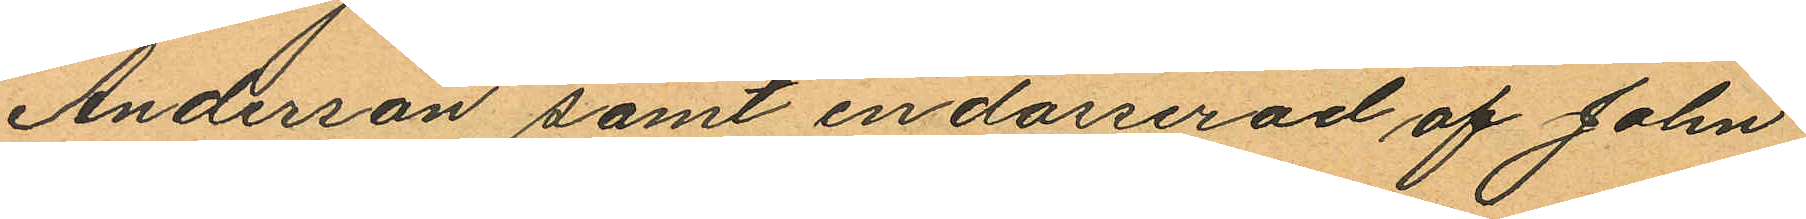Anderson samt endosserad af John
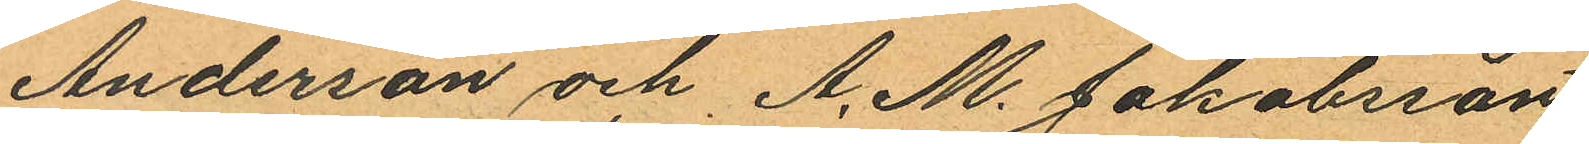Anderson och A. M. Jakobsson
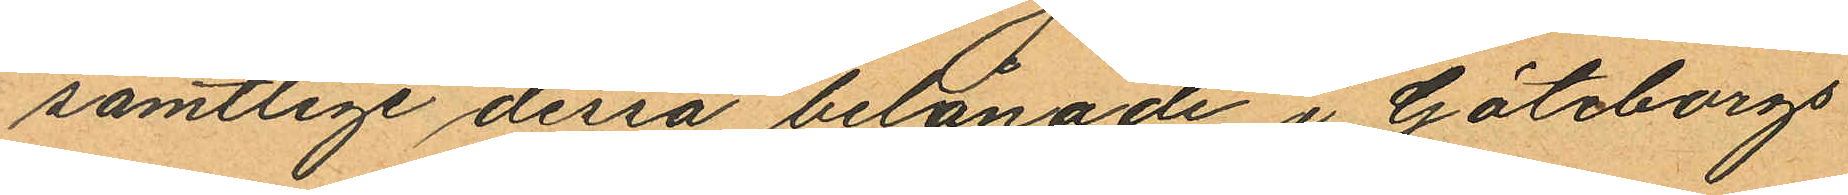samtlige dessa belånade i Göteborgs
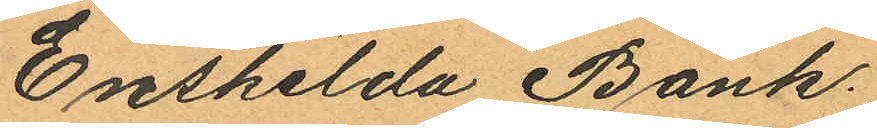Enskilda Bank.
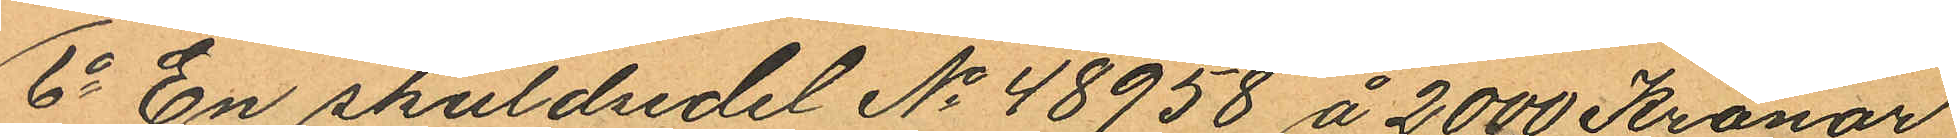6o En skuldsedel No 48958 å 2000 Kronor
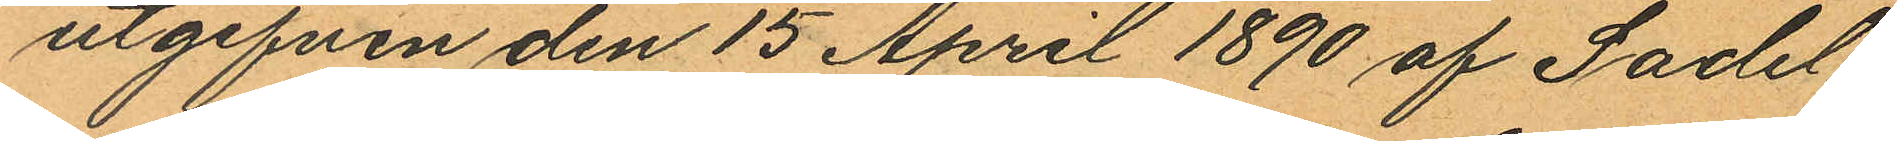utgifven den 15 April 1890 af Sadel¬
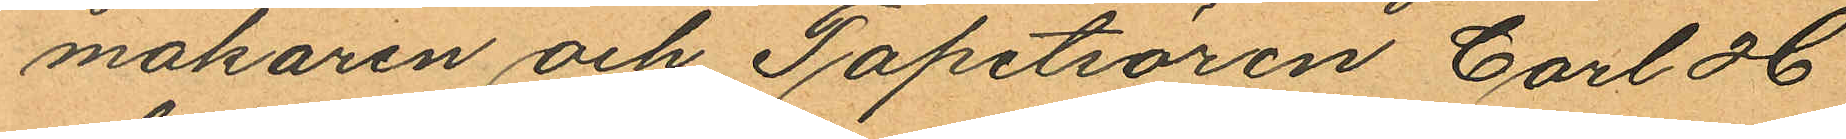makaren och Tapetsören Carl H
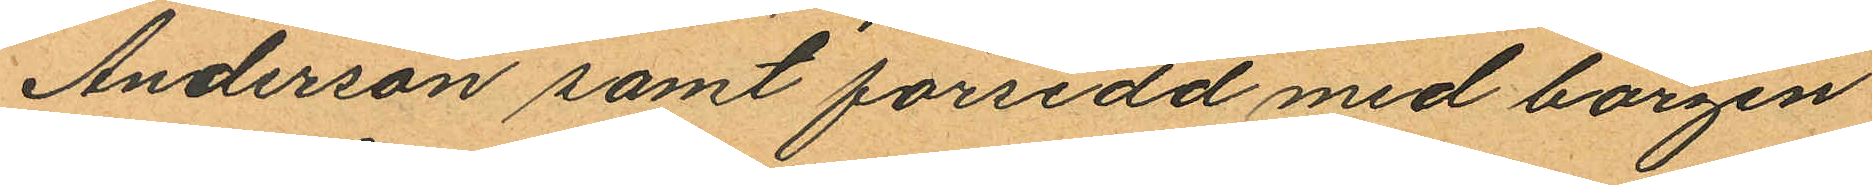Anderson samt försedd med borgen
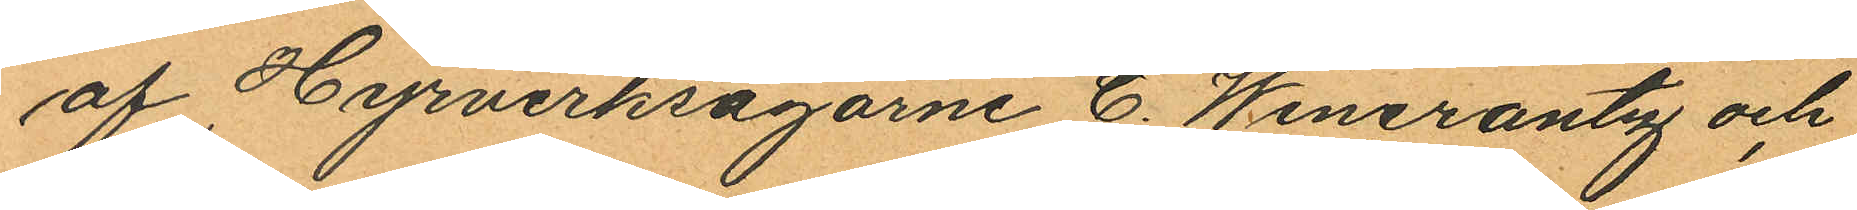af Hyrverksägarne C. Wincrantz och
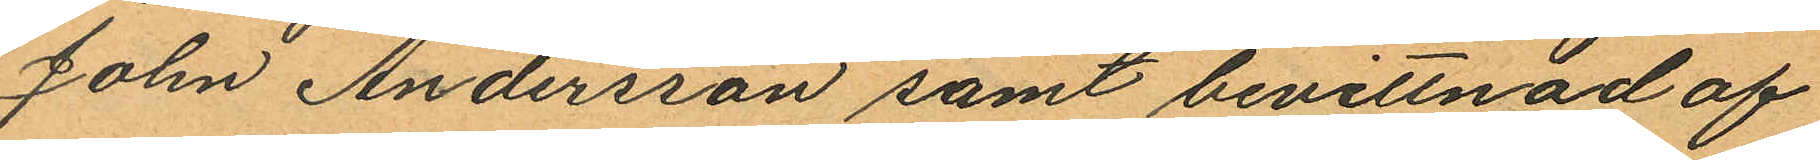John Andersson samt bevittnad af
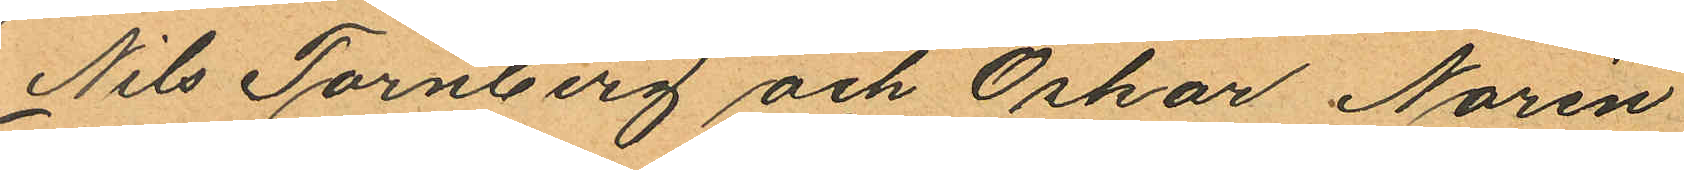Nils Tornberg och Oskar Norén
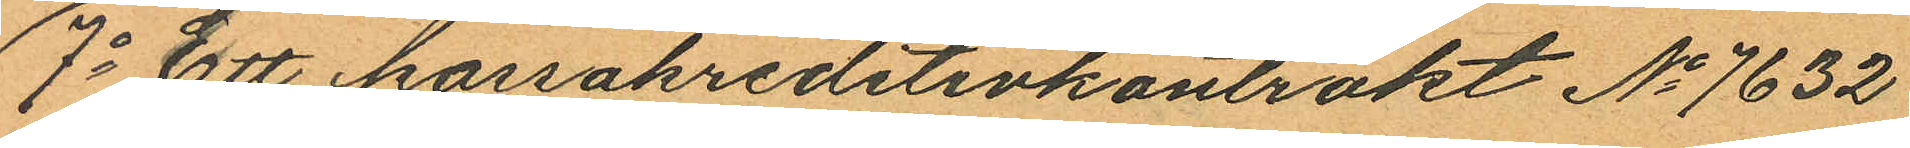7o Ett kassakreditivkontrakt No 7632
